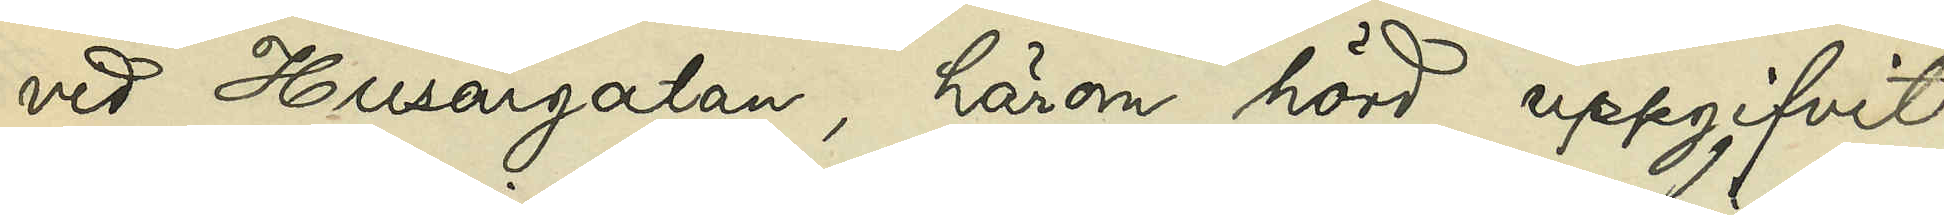vid Husargatan, härom hörd, uppgifvit,
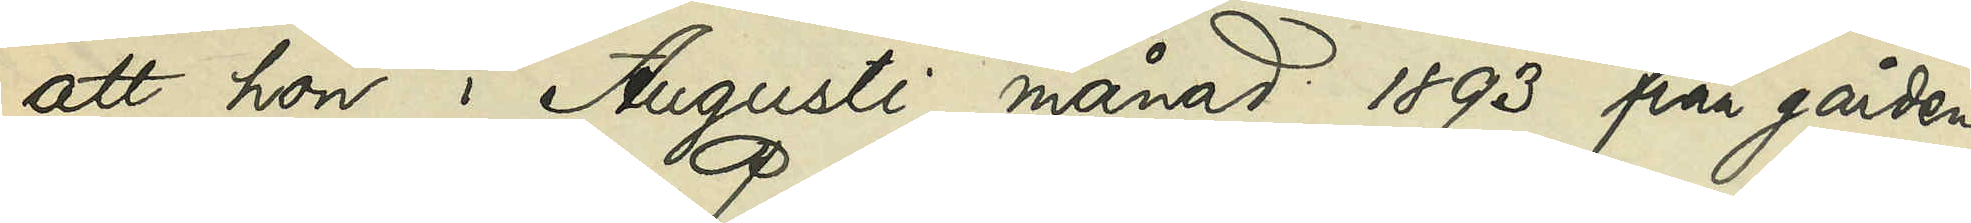att hon i Augusti månad 1893 från gården
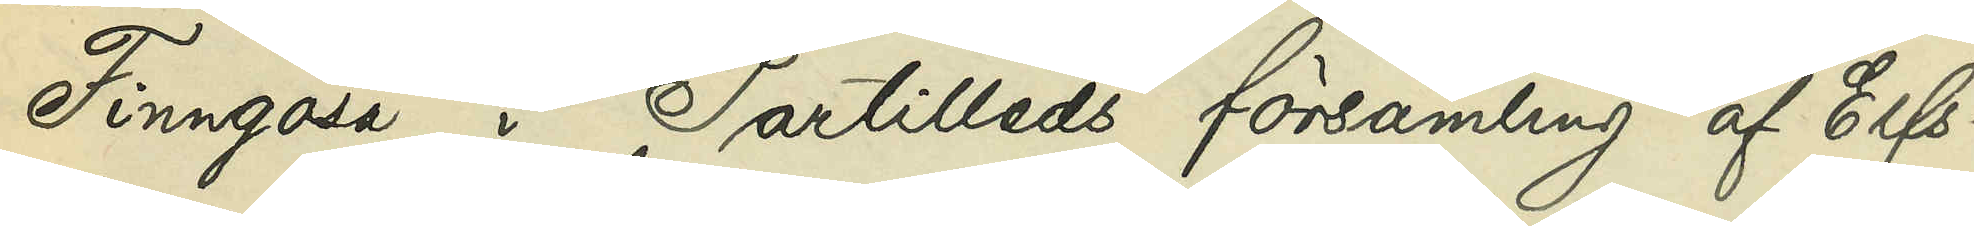Finngösa i Partilleds församling af Elfs¬
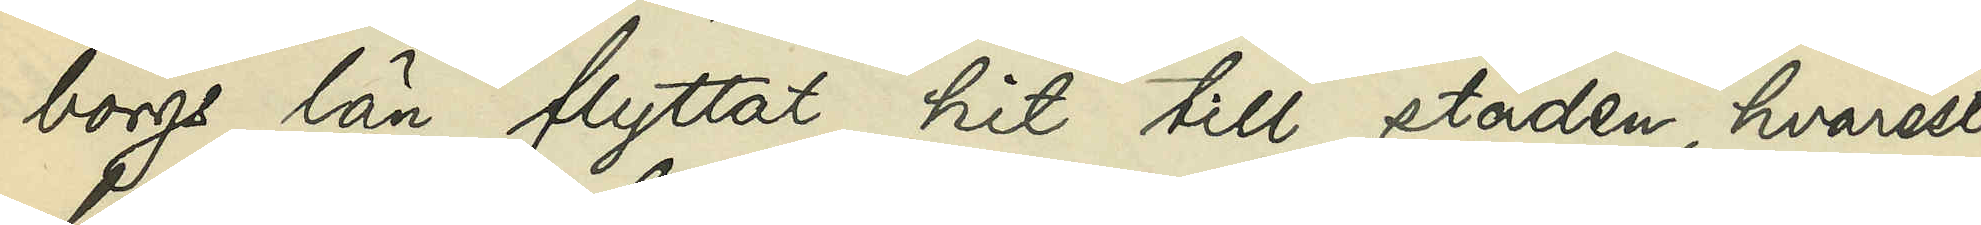borgs län flyttat hit till staden, hvarest
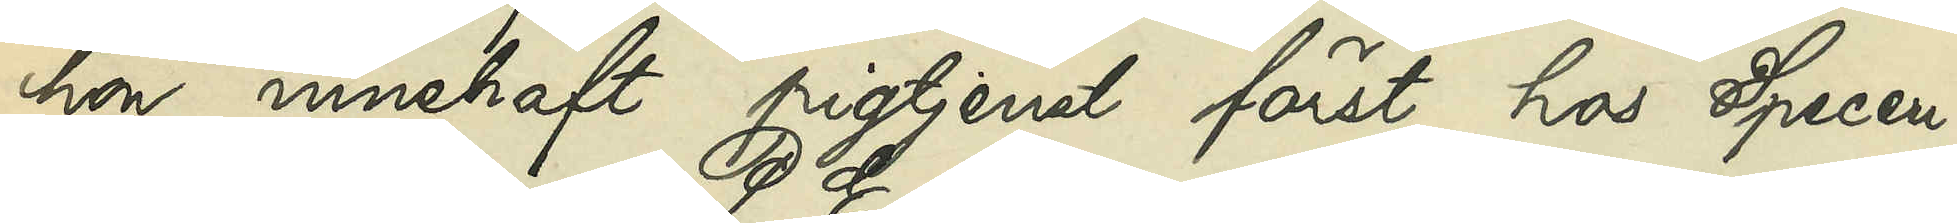hon innehaft pigtjenst först hos Speceri¬
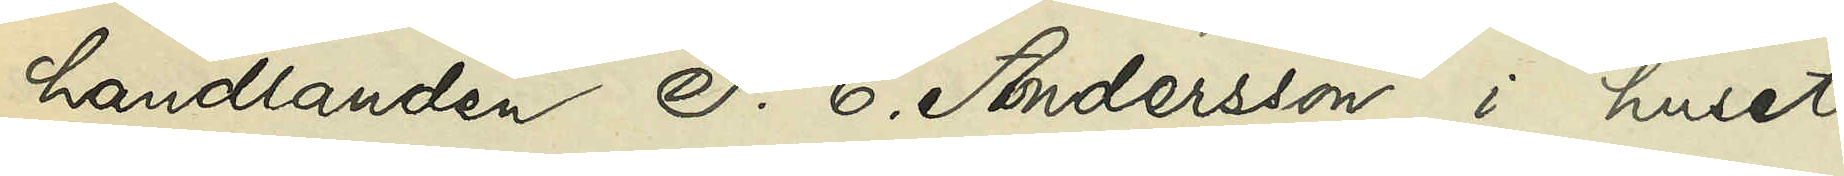handlanden P. E. Andersson i huset
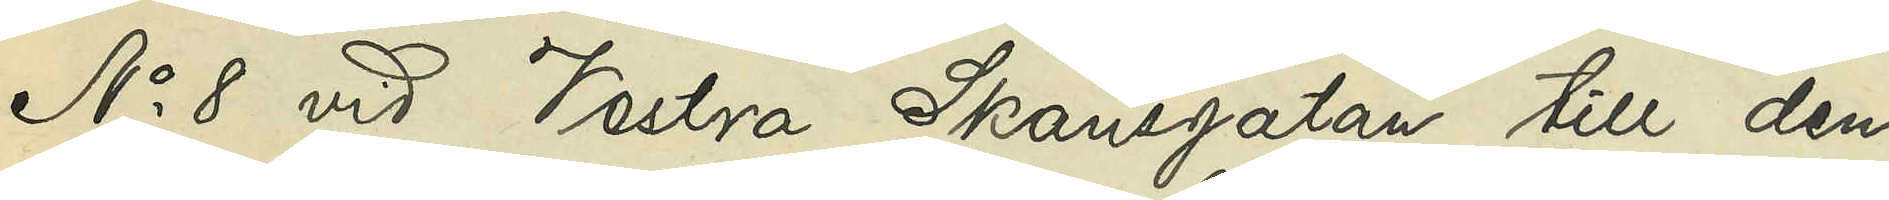No 8 vid Vestra Skansgatan till den
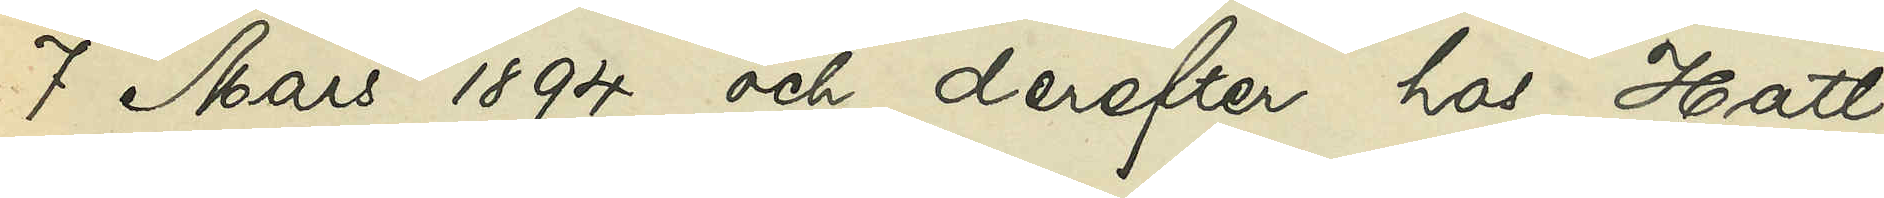7 Mars 1894 och derefter hos Hatt¬
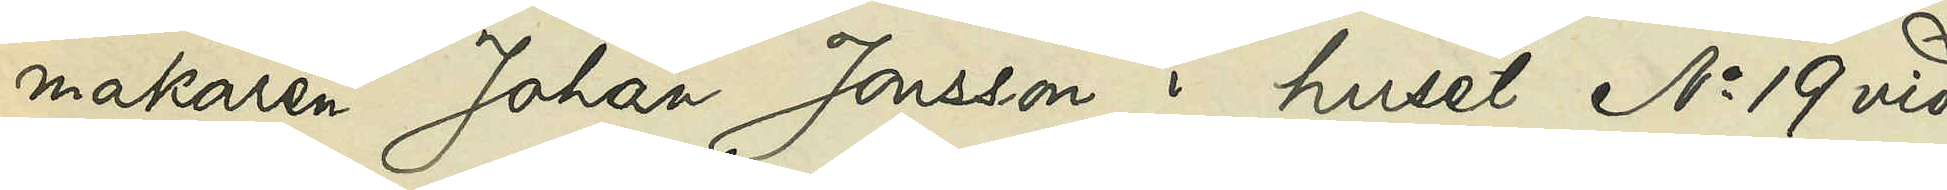makaren Johan Jonsson i huset No 19 vid
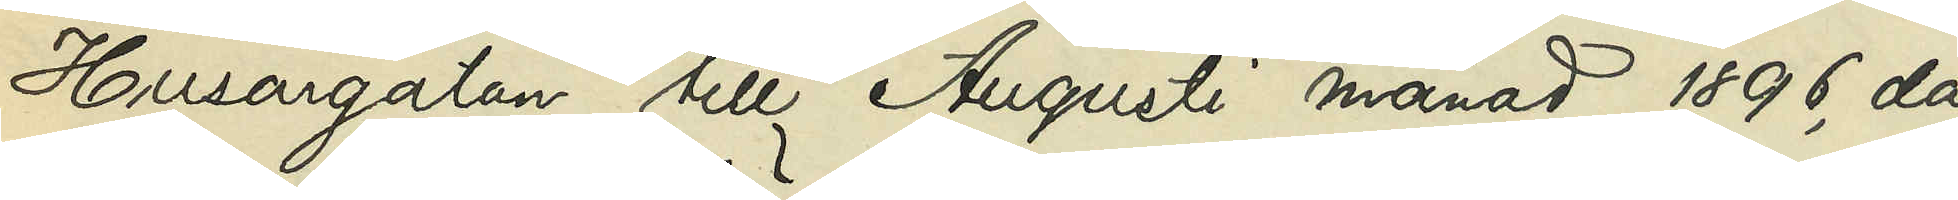Husargatan till Augusti månad 1896, då
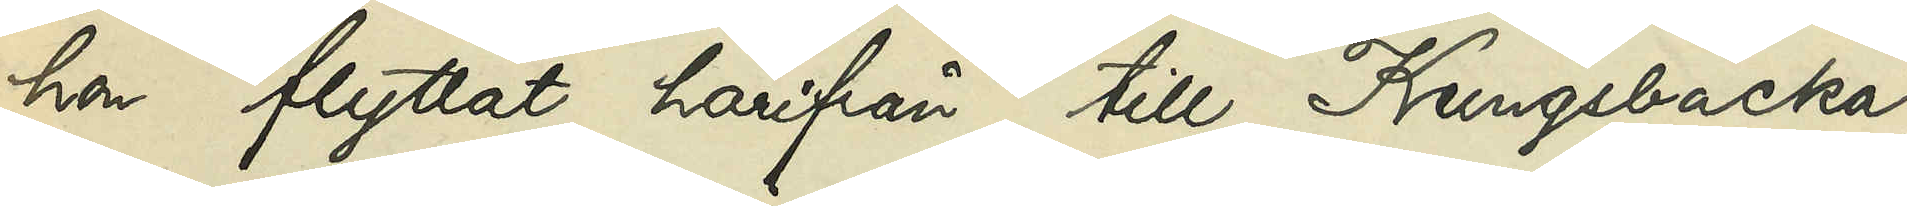hon flyttat härifrån till Kungsbacka,
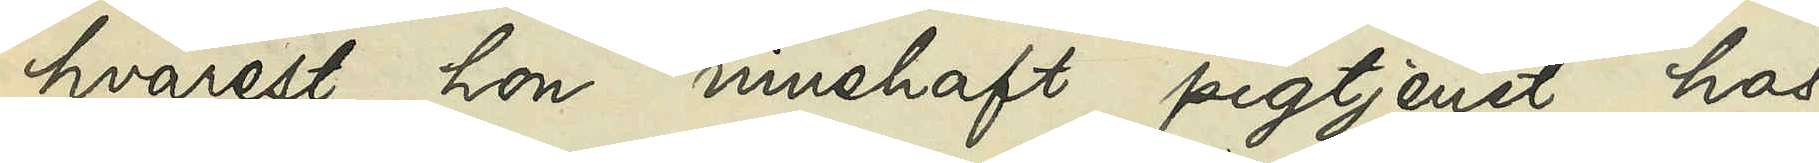hvarest hon innehaft pigtjenst hos
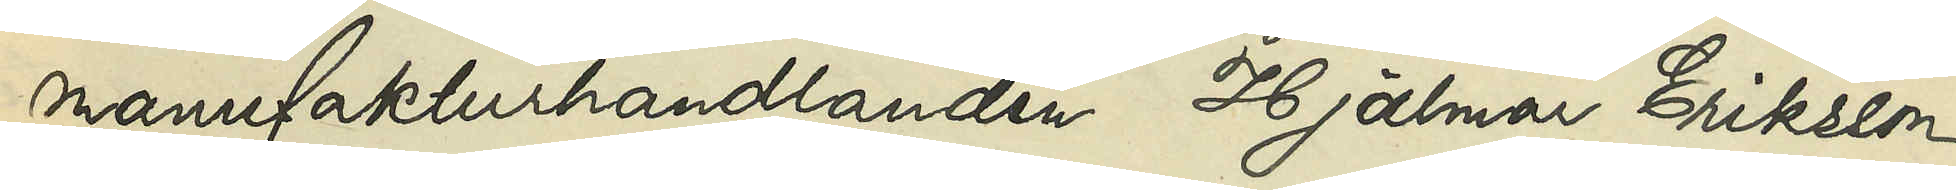manufakturhandlanden Hjalmar Eriksson
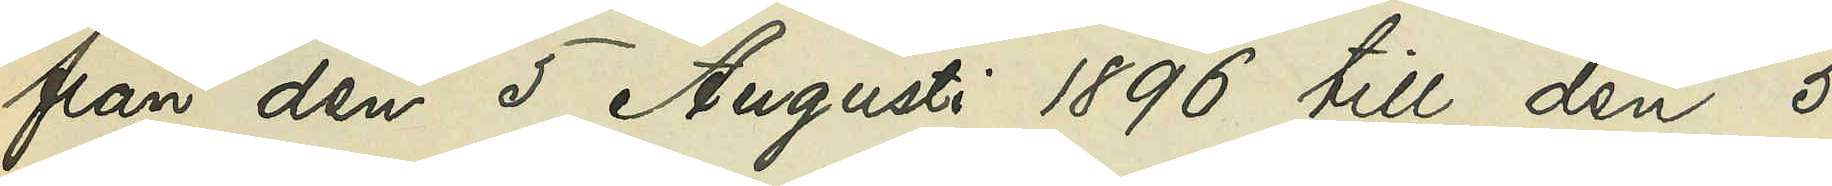från den 5 Augusti 1896 till den 5
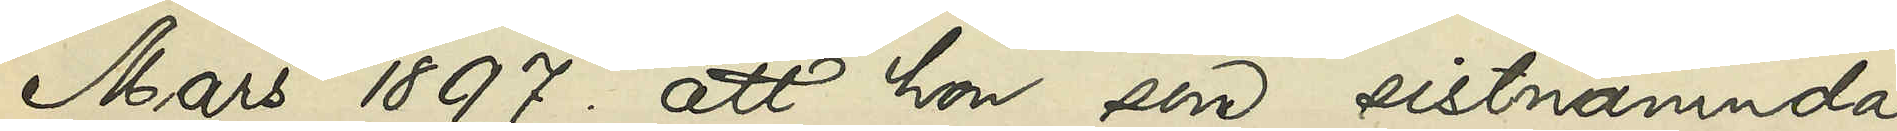Mars 1897; att hon, som sistnämnda
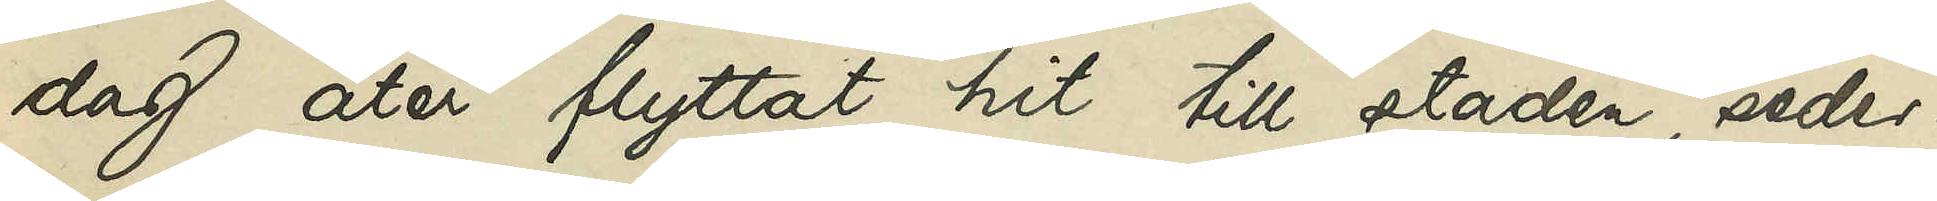dag åter flyttat hit till staden, seder¬
